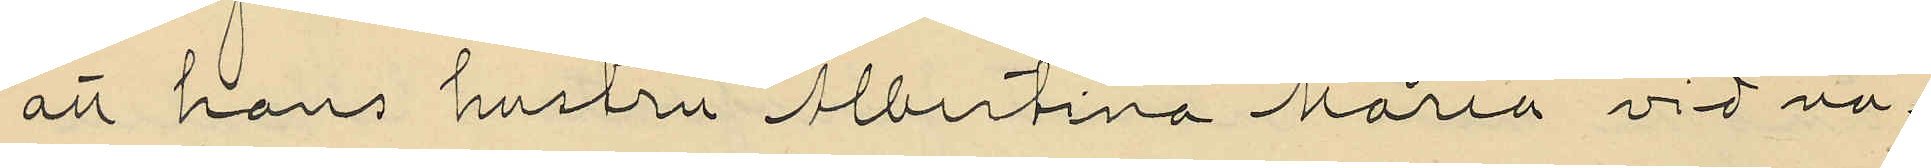att hans hustru Albertina Maria vid nå¬
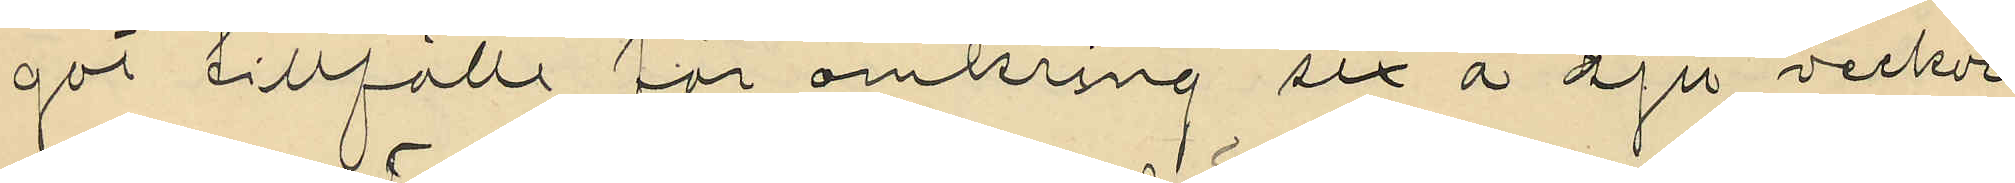got tillfälle för omkring sex á sju veckor
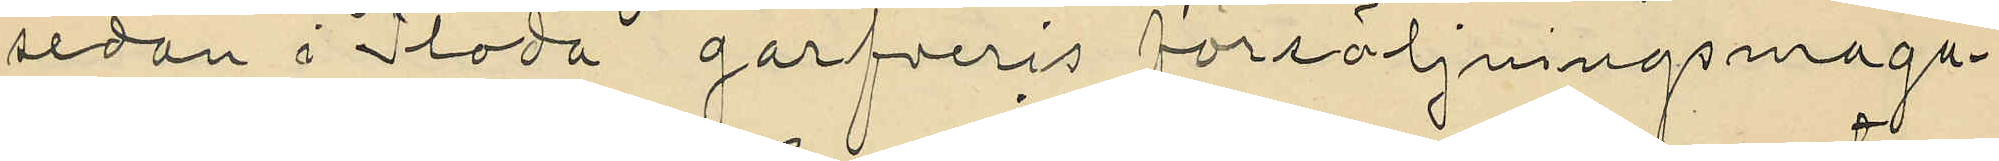sedan i Floda garfveris försäljningsmaga¬
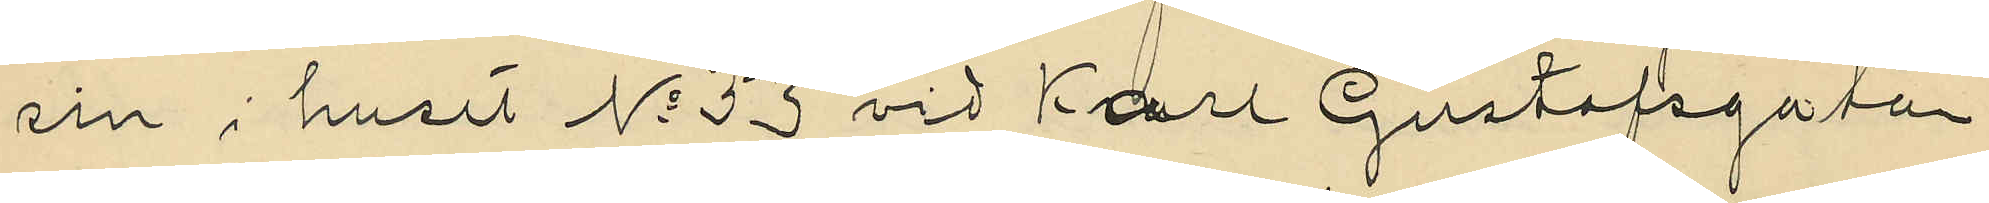sin i huset No 53 vid Karl Gustafsgatan
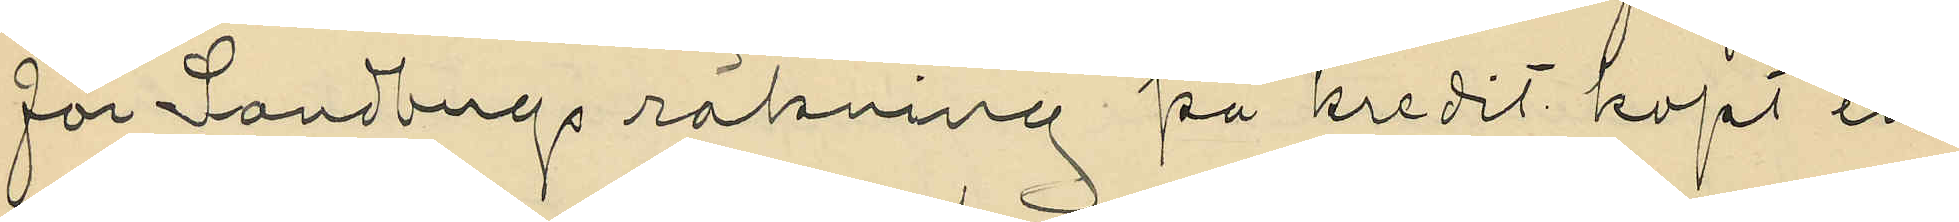för Sandbergs räkning på kredit köpt en
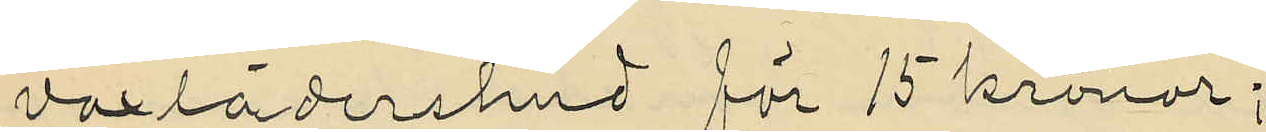vaxlädershud för 15 kronor;
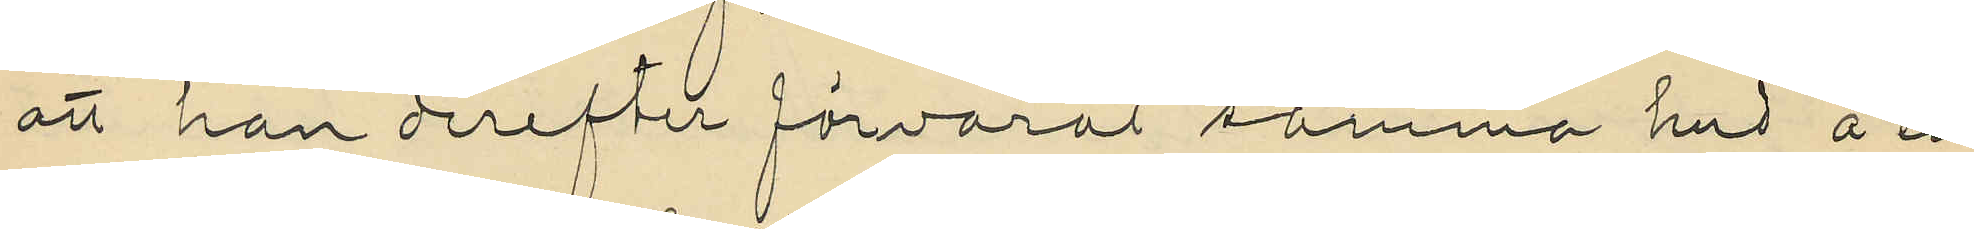att han derefter förvarat samma hud å en
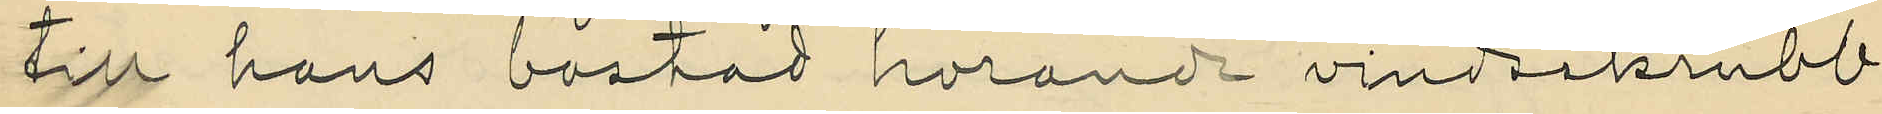till hans bostad hörande vindsskrubb
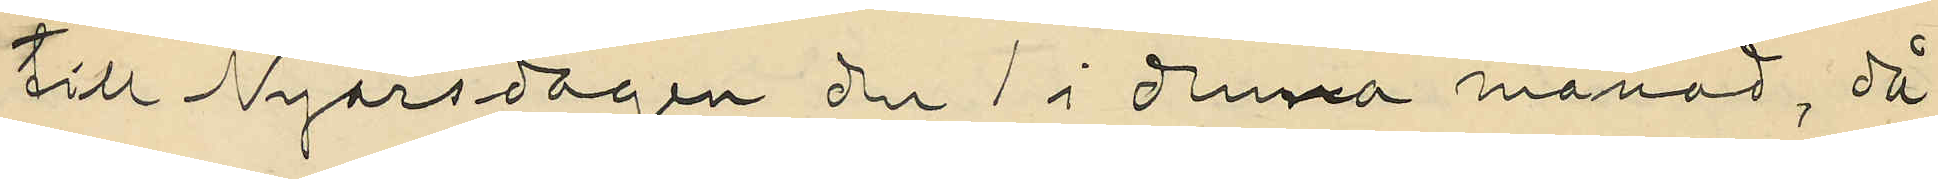till Nyårsdagen den 1 i denna månad, då
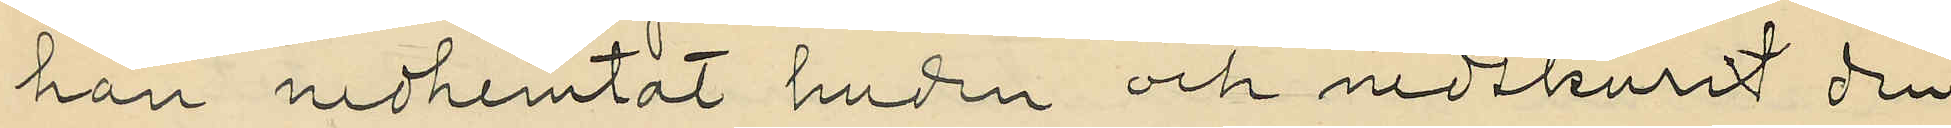han nedhemtat huden och nedskurit den
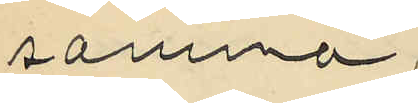samma;
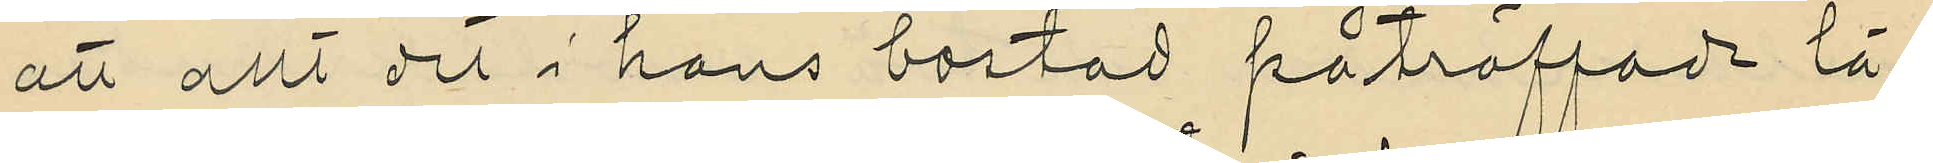att allt det i hans bostad påträffade lä¬
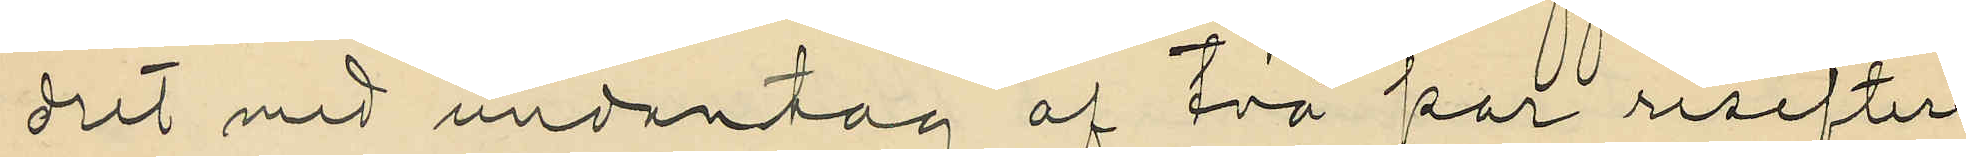dret med undantag af två par resefter
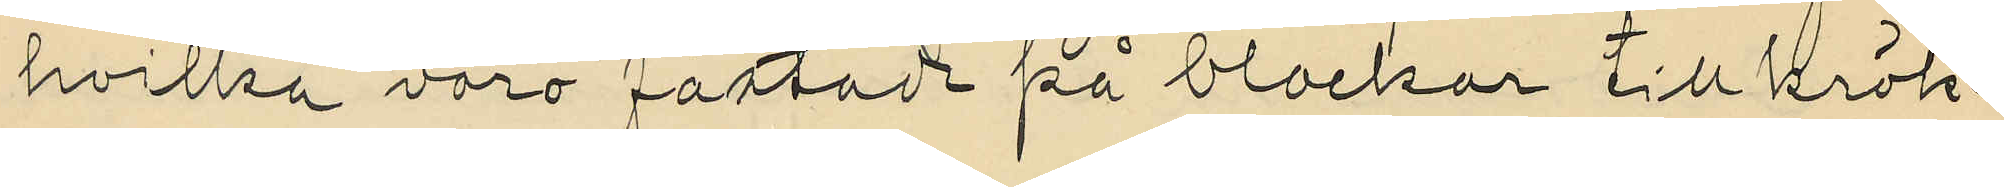hvilka voro fästade på blockar till krök¬
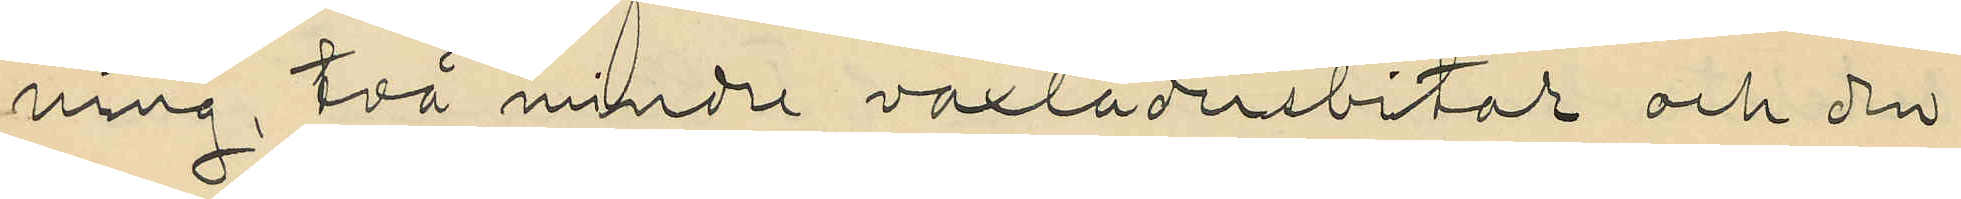ning, två mindre vaxlädersbitar och den
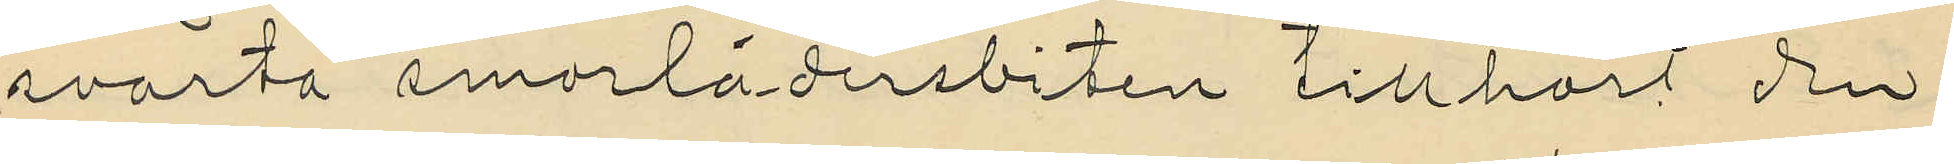svarta smorlädersbiten tillhört den
